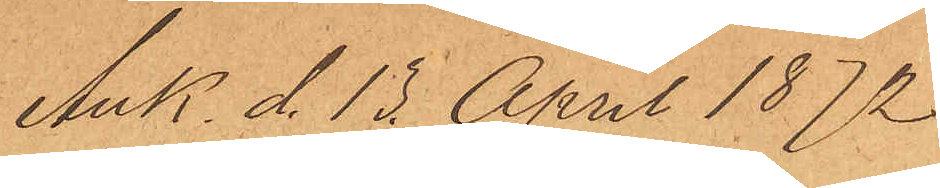Ank. d. 15 April 1872
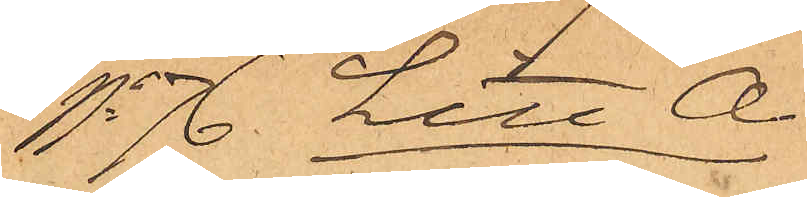No 76 Litt A.
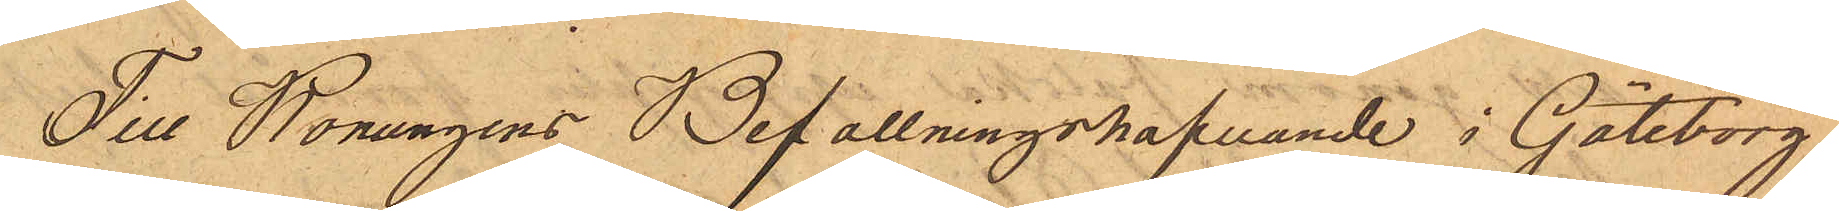Till Konungens Befallningshafvande i Göteborg.
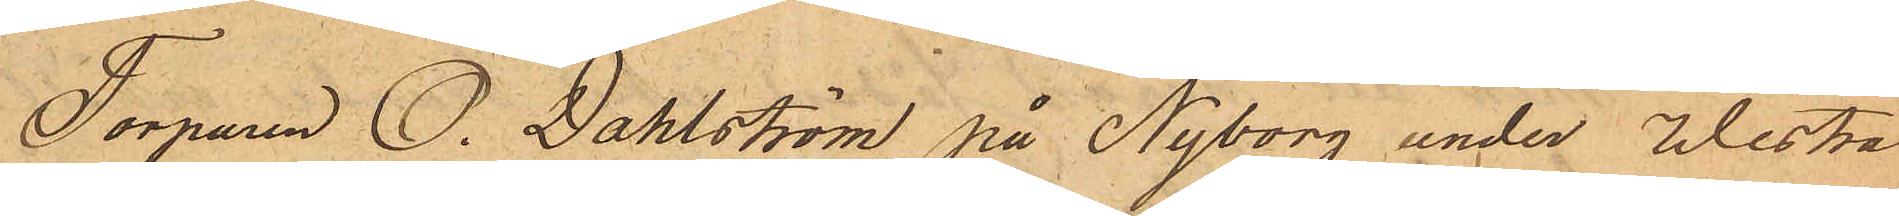Torparen O. Dahlström på Nyborg under Westra
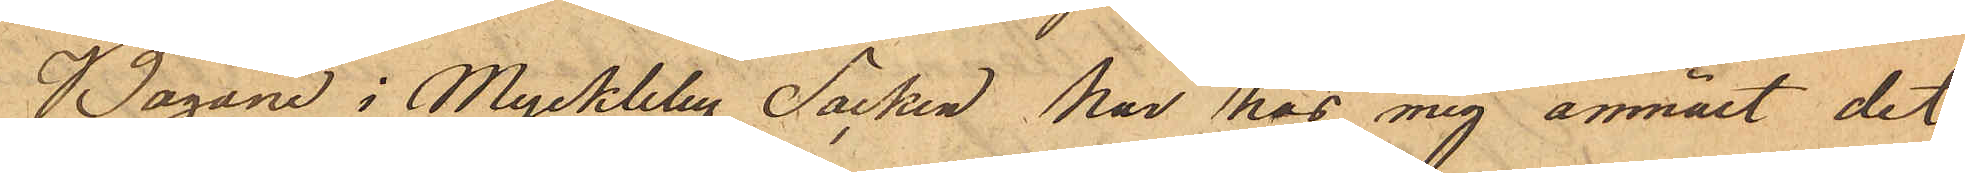Bagane i Myckleby Socken har hos mig anmält det
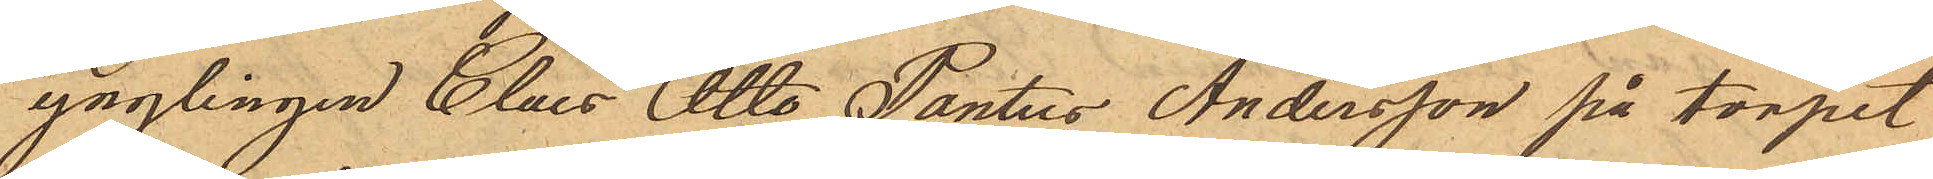ynglingen Claes Otto Pontus Andersson på torpet
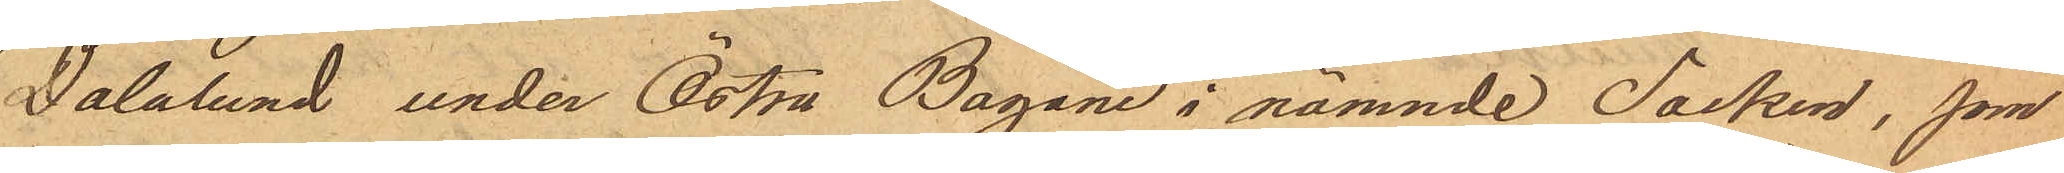Dalalund under Östra Bagane i nämnde Socken, som
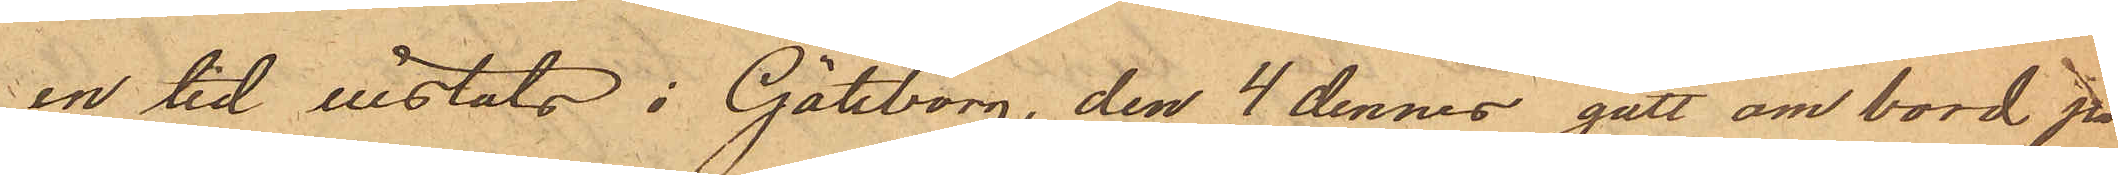en tid vistats i Göteborg, den 4 dennes gått om bord på
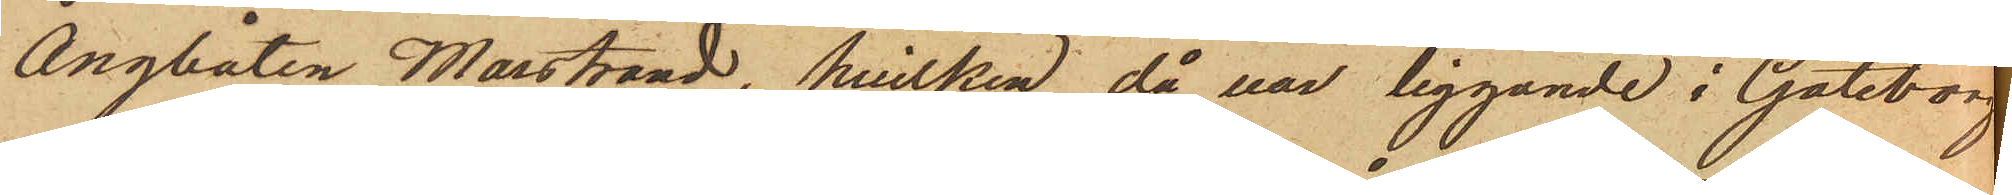ångbåten Marstrand, hvilken då var liggande i Göteborg
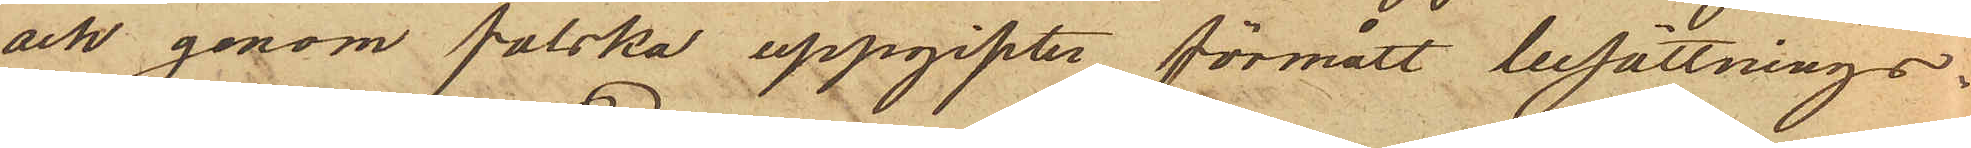och genom falska uppgifter förmått besättnings¬
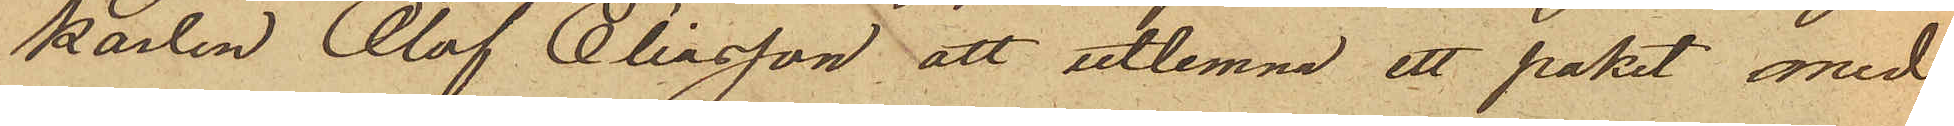karlen Olof Eliasson att utlemna ett paket med
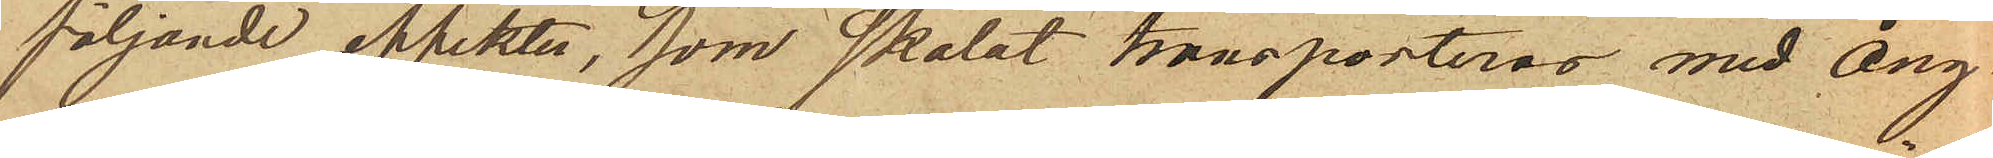följande effekter, som skolat transporteras med Ång¬
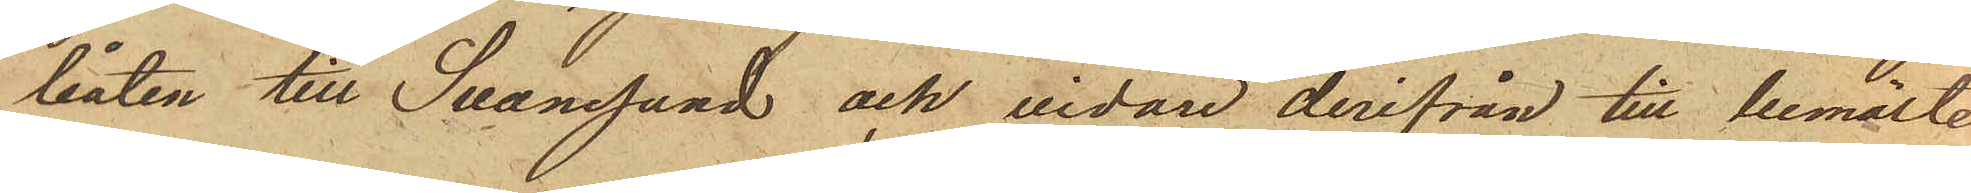båten till Svanesund och vidare derifrån till bemälte
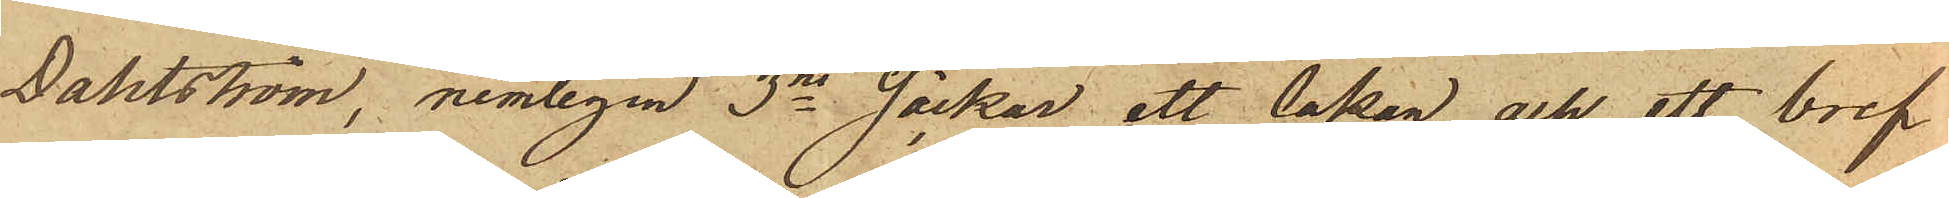Dahlström, nemligen 3ne säckar ett lakan och ett bref
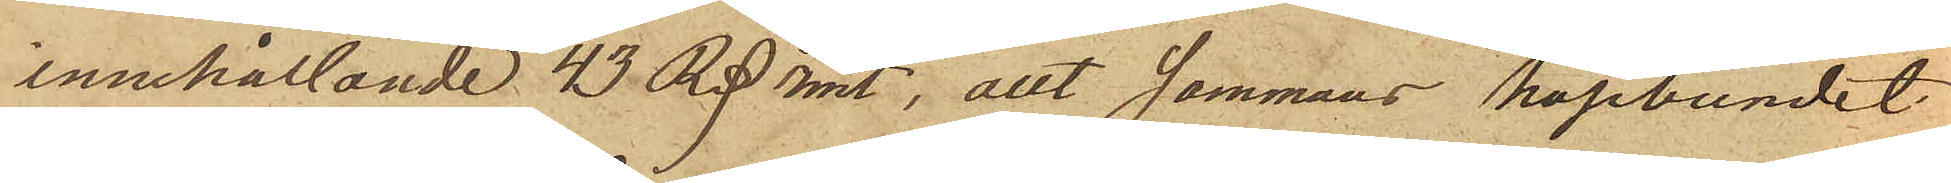innehållande 43 Rd rmt, allt sammans hopbundet
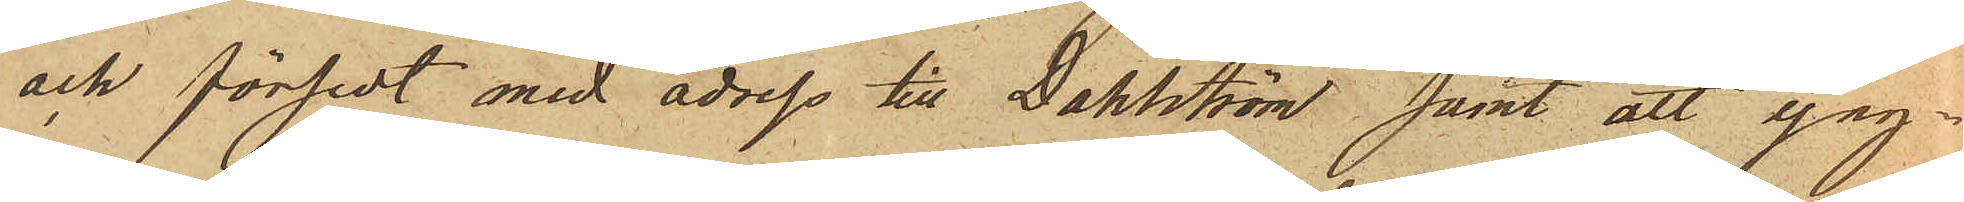och försedt med adress till Dahlström samt att yng¬
